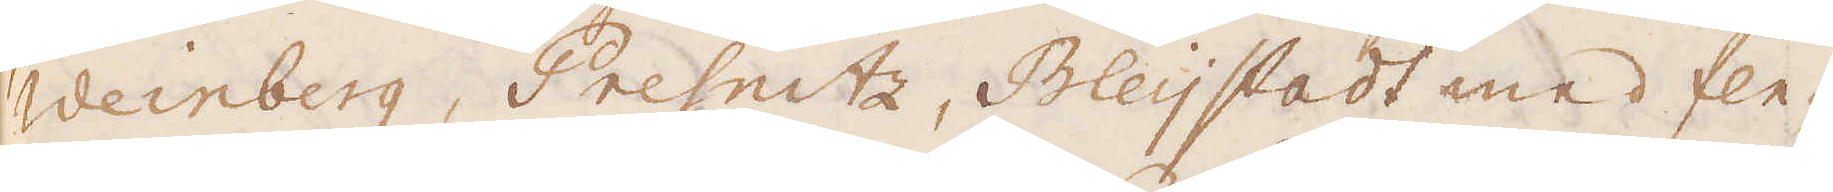Weinberg, Presnitz, Bleijstadt med fle-
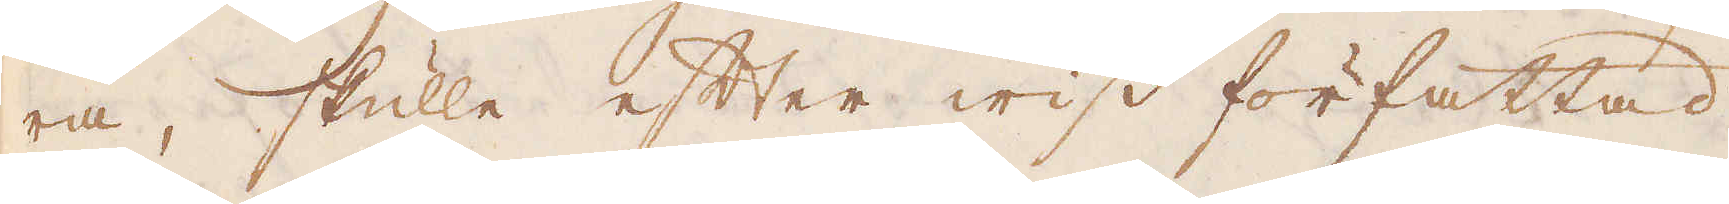ra, skulle efter wiss författad
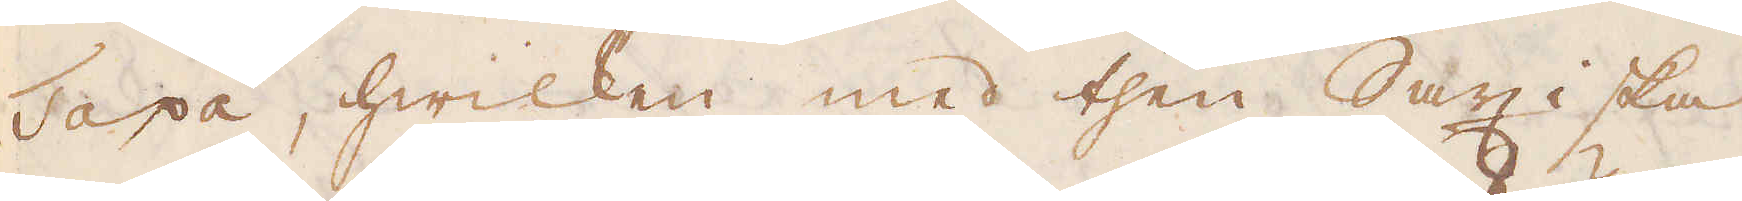Taxa, hwilken med then Saxiska
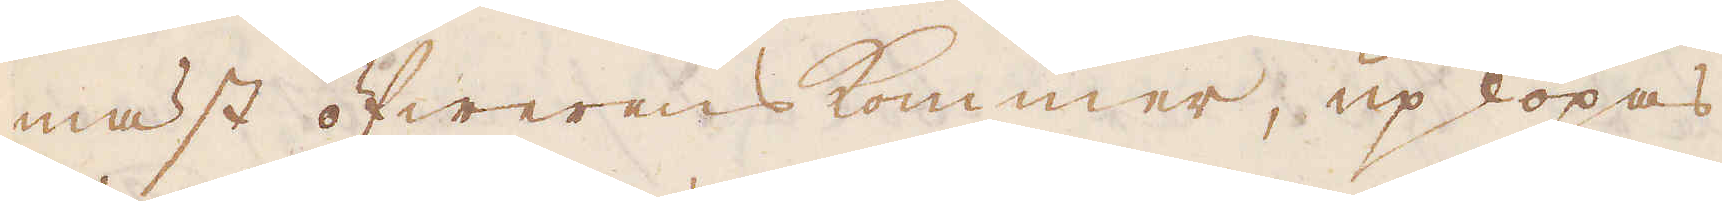mäst öfwerens kommer, upköpas
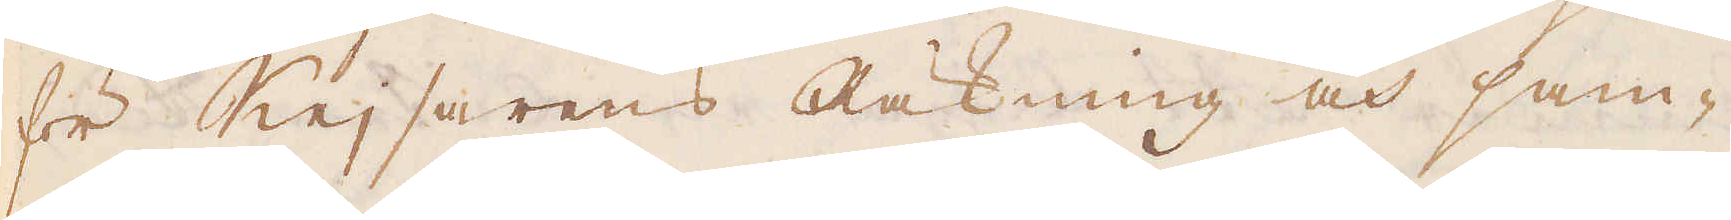för Kejsarens Räkning och sam-
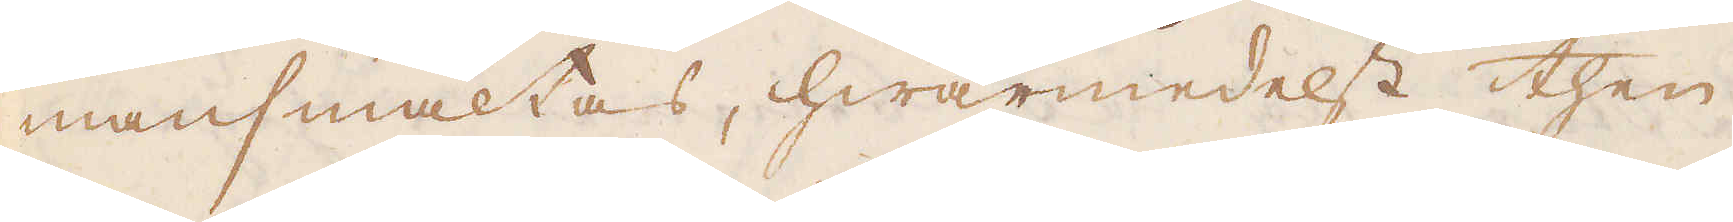mansmältas, hwarmedelst then
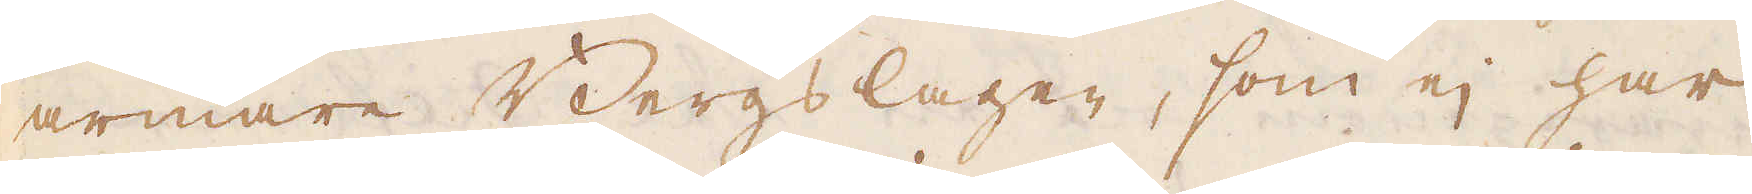armare Bergslagen, som ej har
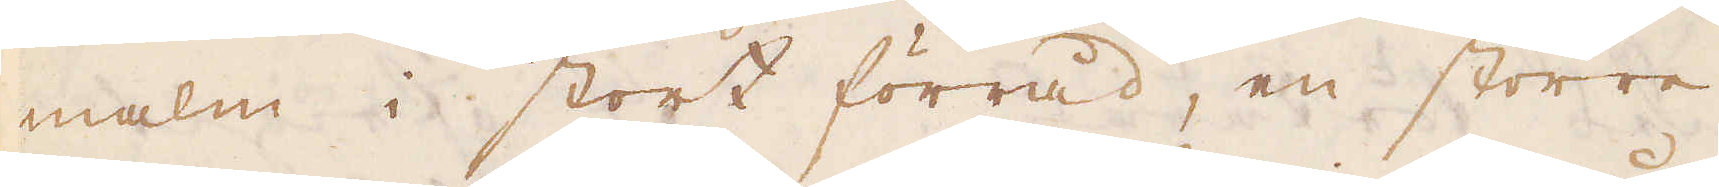malm i stort förråd, en större
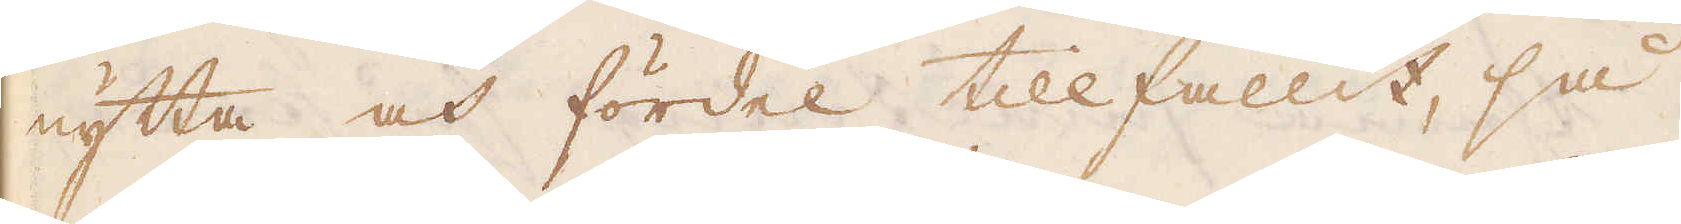nytta och fördel tillfallit, så
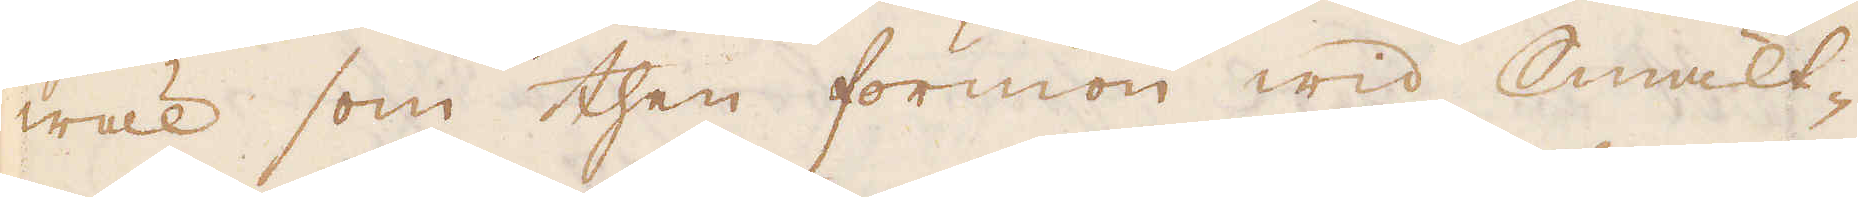wäl som then förmon wid Smält-
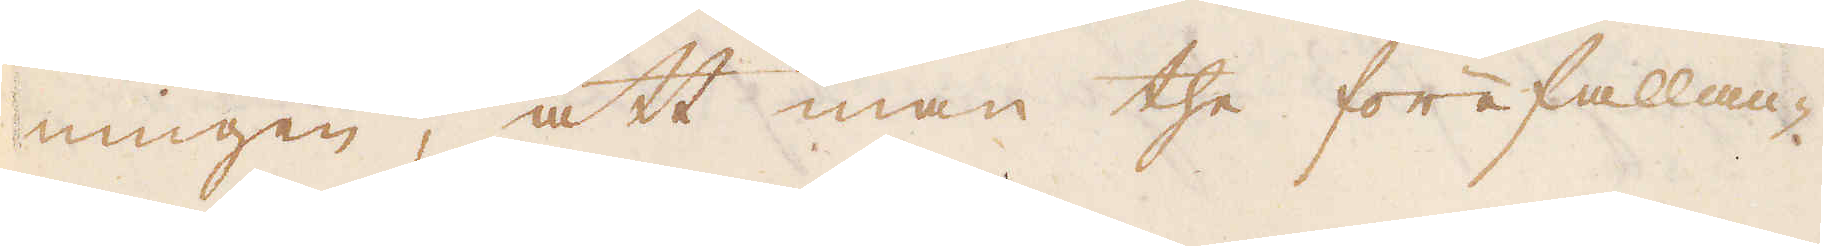ningen, att man the förefallan-
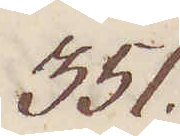351.
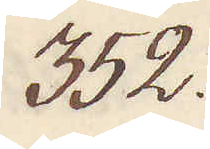352.
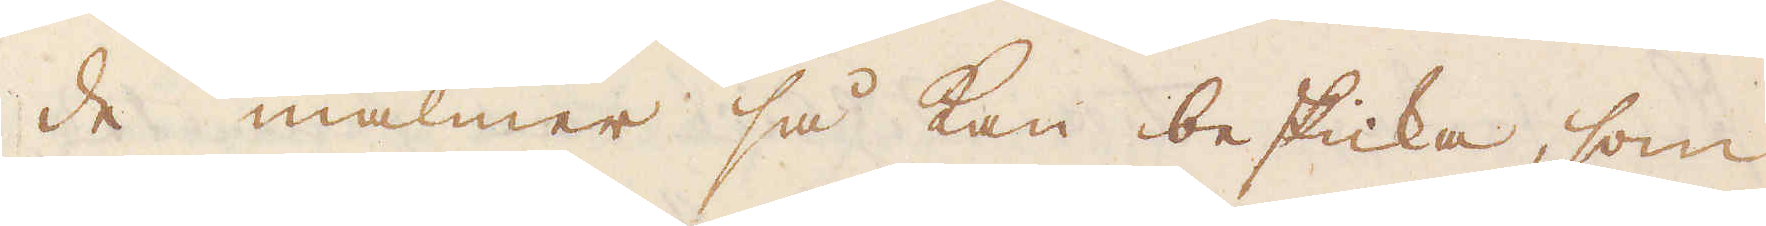de malmer så kan besticka, som
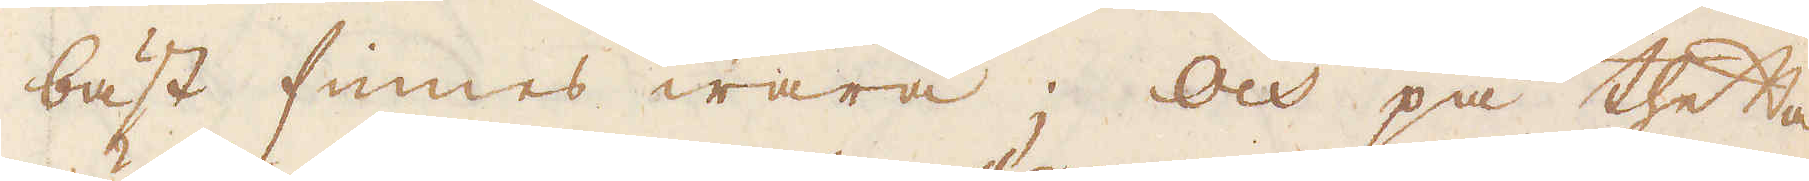bäst finnes wara; Och på thetta
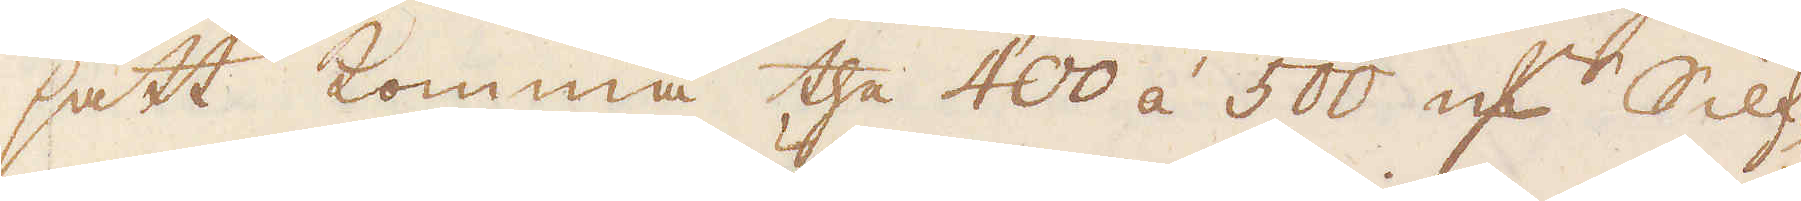sätt komma the 400 á 500 qv:r Silf-
